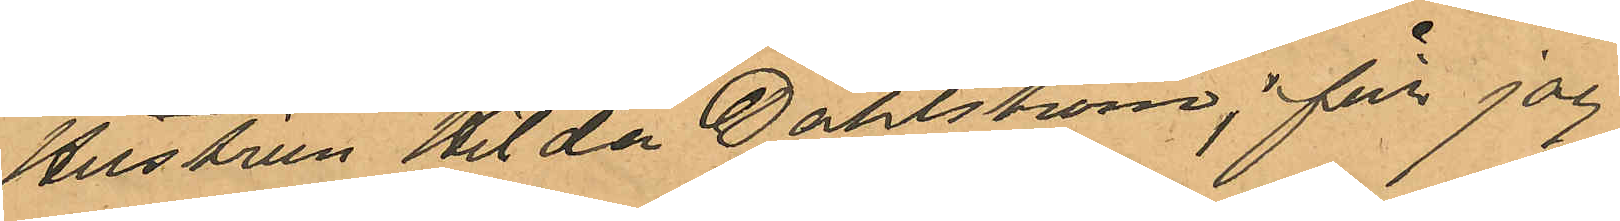Hustrun Hilda Dahlström; får jag
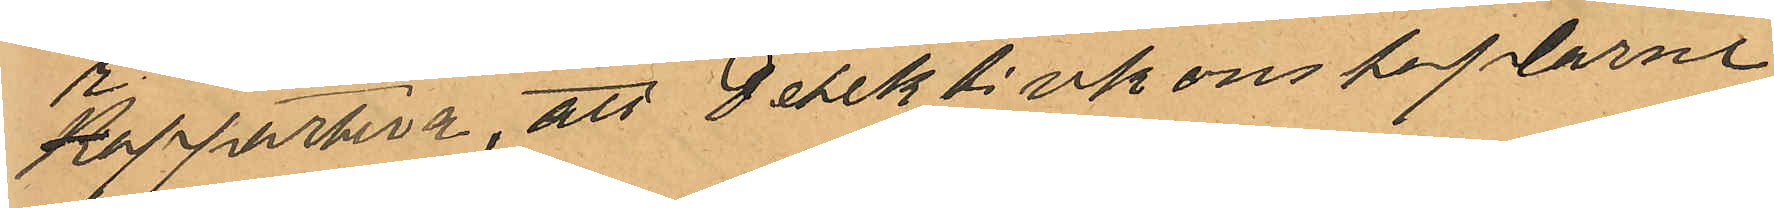rapportera, att Detektivkonstaplarne
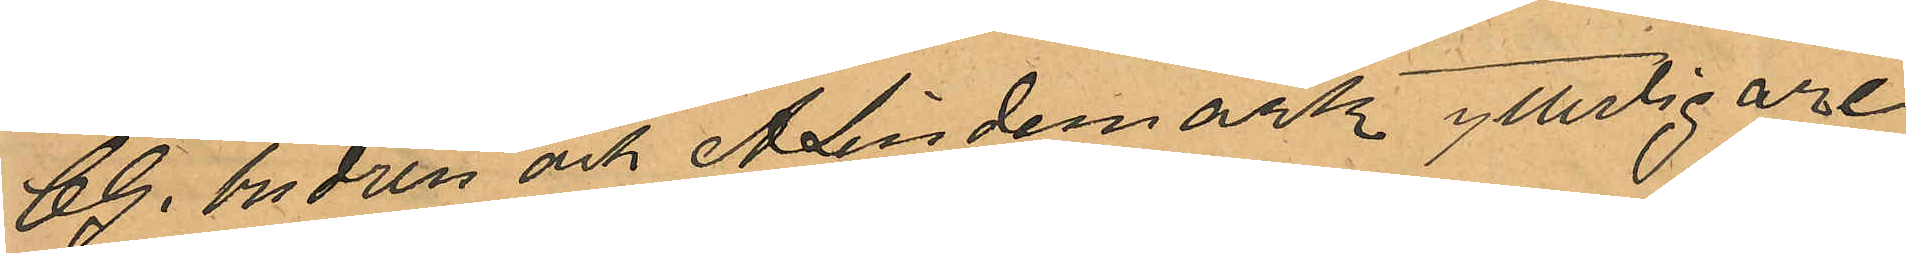CG. Andrén och A. Lindemark ytterligare
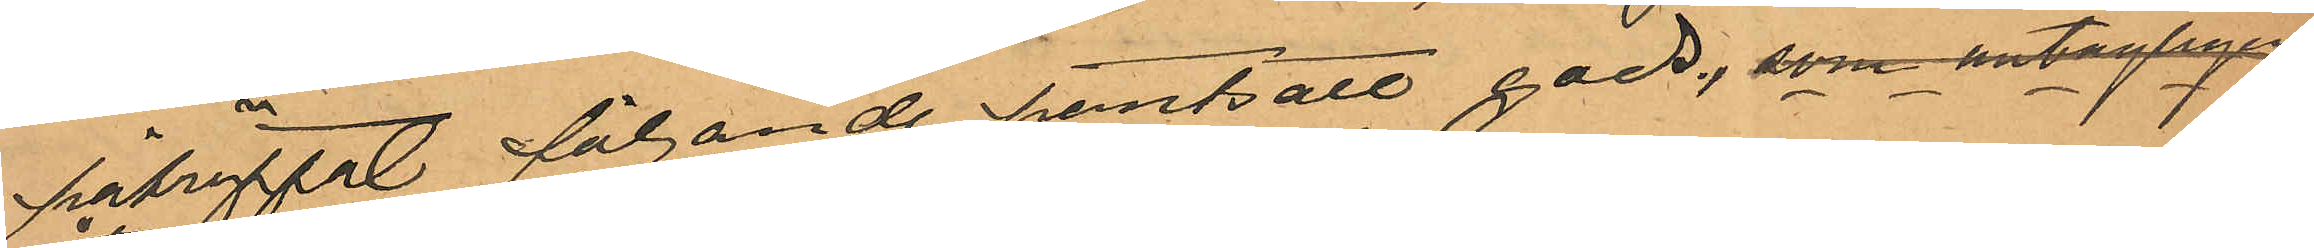påträffat följande pantsatt gods, som antagligen
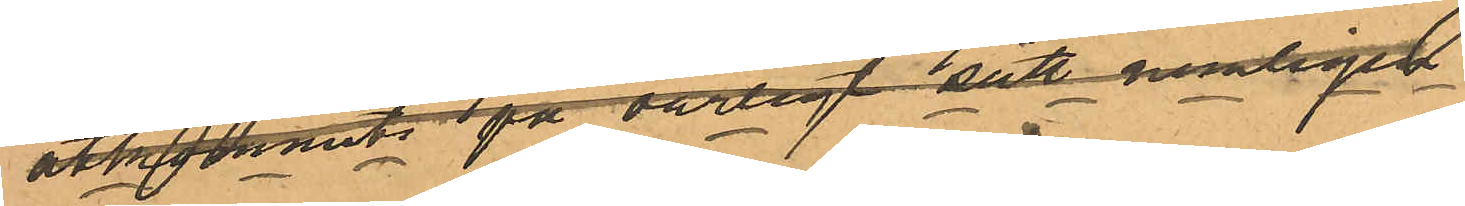åtkommits på oärligt sätt nemligen
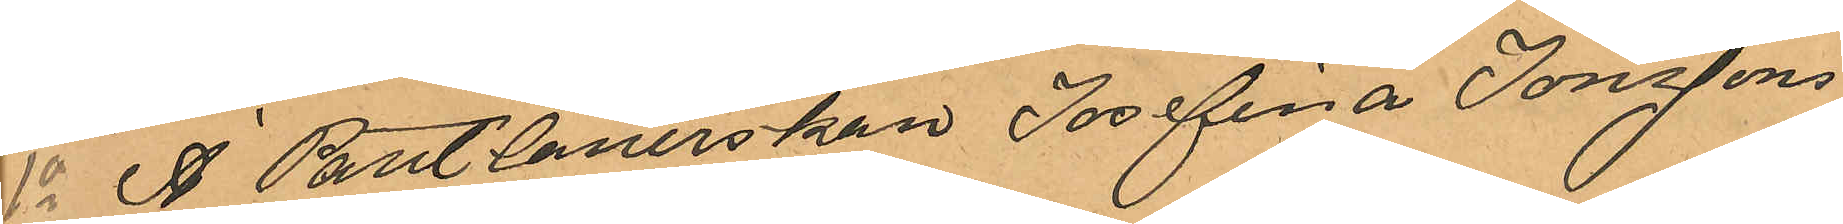1o I Pantlånerskan Josefina Jonssons
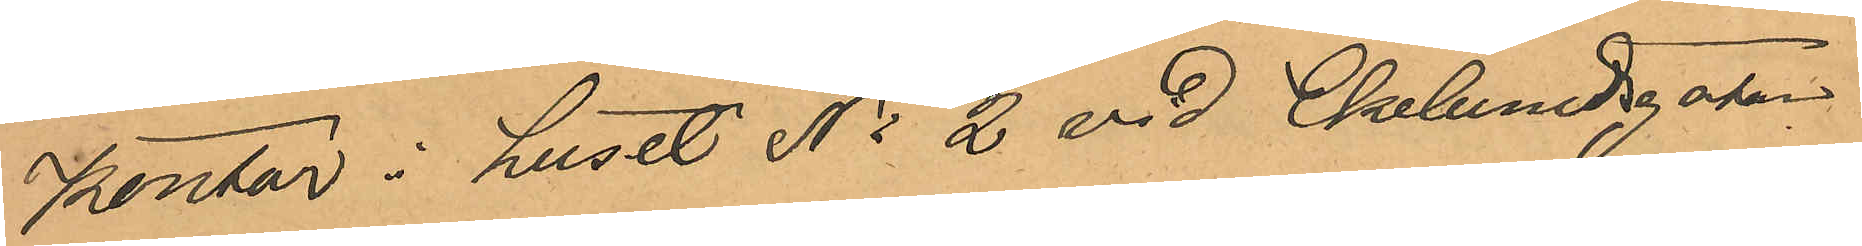kontor i huset No 2 vid Ekelundsgatan
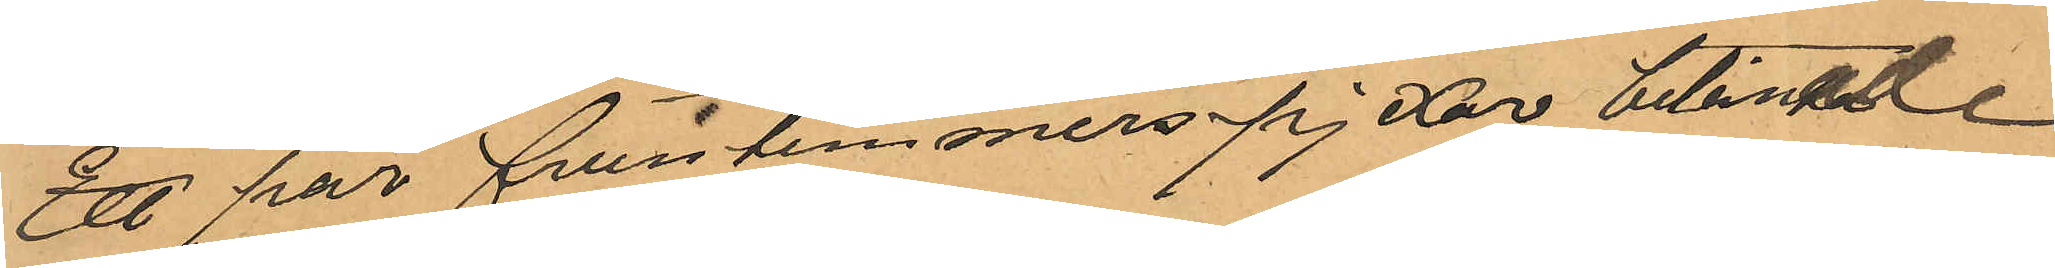ett par fruntimmerspjexor belånade
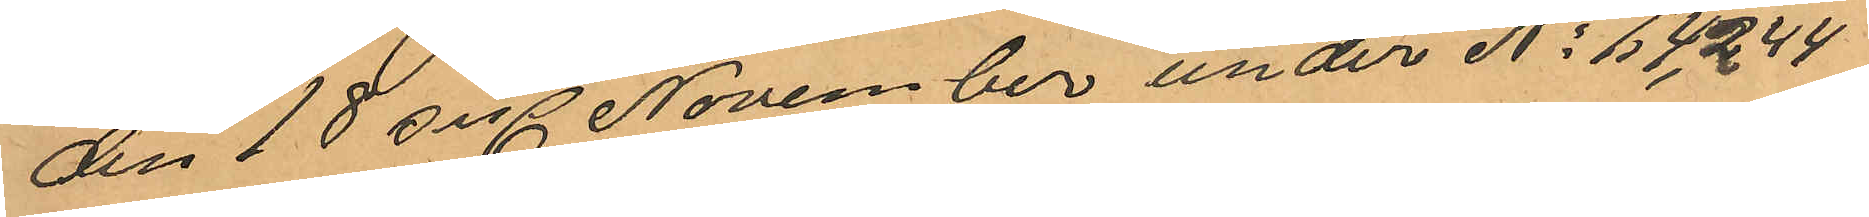den 18 sisl November under No 14244
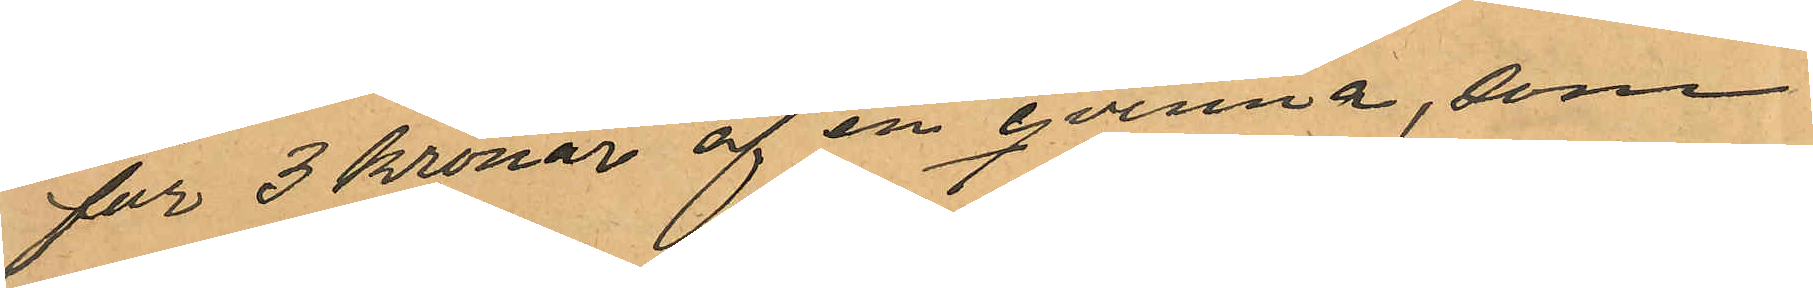för 3 kronor af en qvinna, som
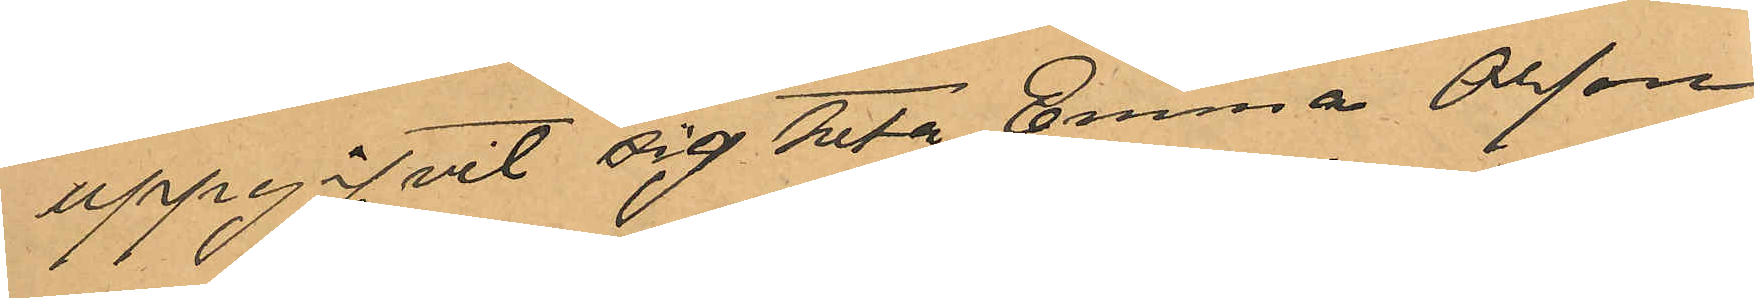uppgifvit sig heta Emma Olsson
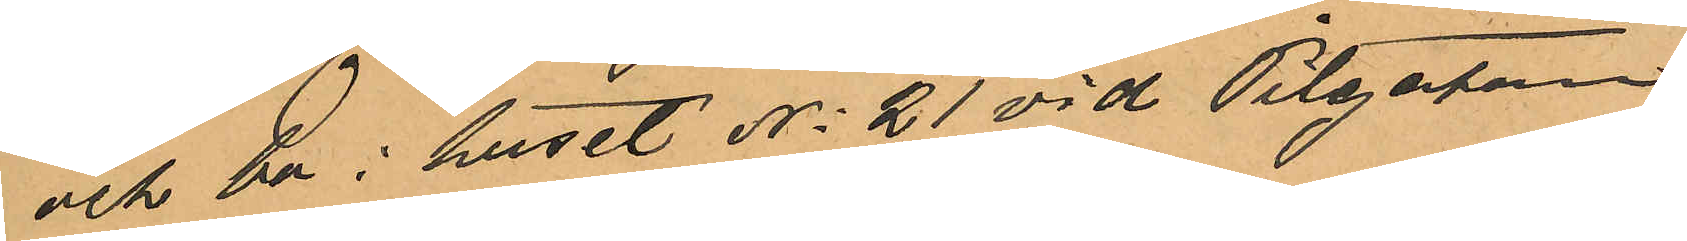och bo i huset No 21 vid Pilgatan.
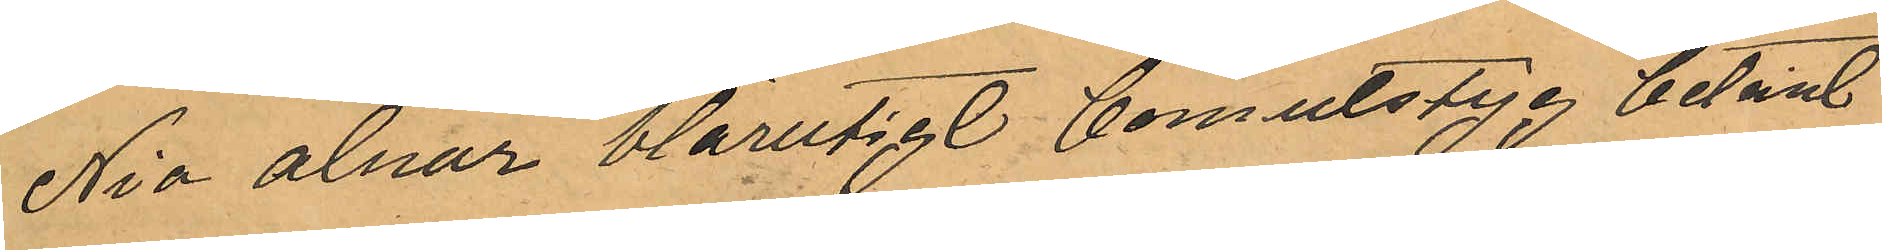Nio alnar blårutigt bomulstyg belånat
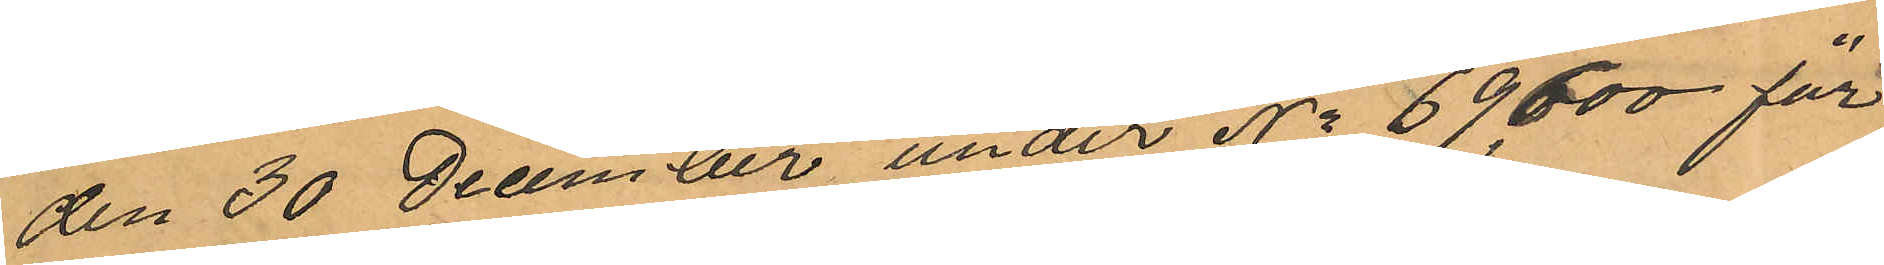den 30 Dcember under No 69600 för
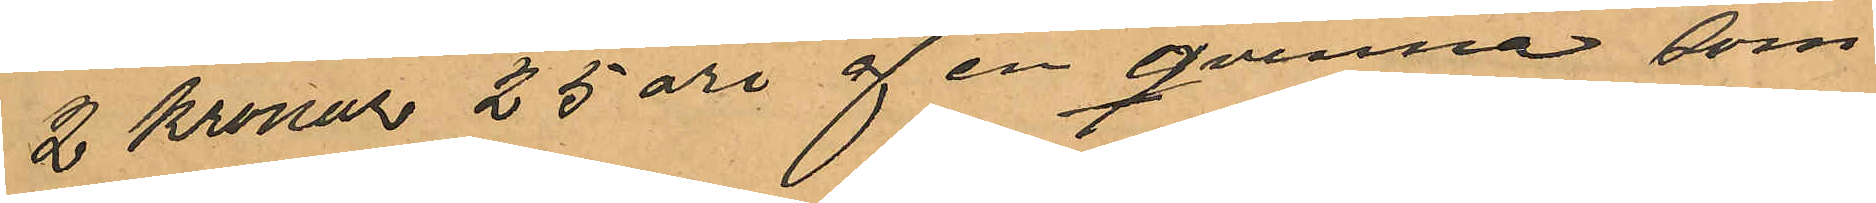2 Kronor 25 öre af en qvinna som
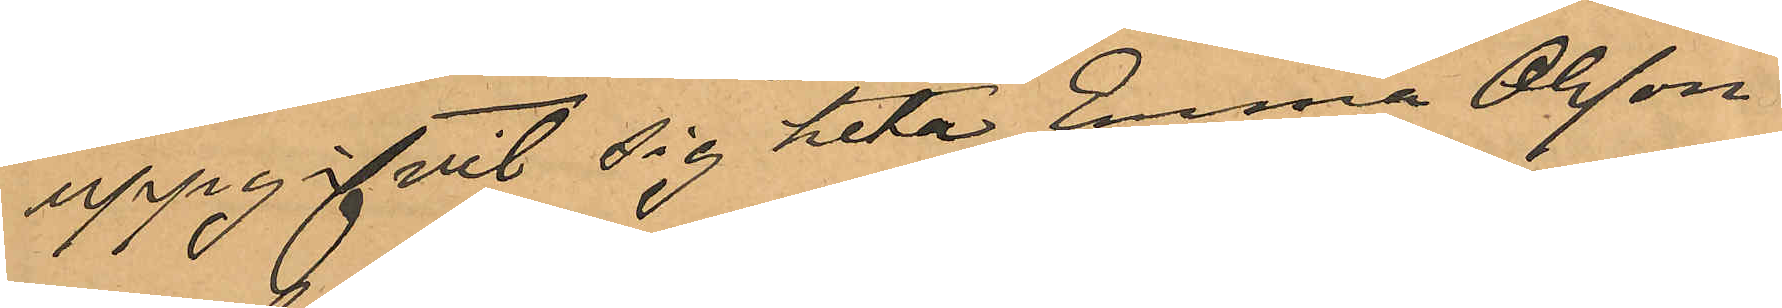uppgifvit sig heta Emma Olsson
